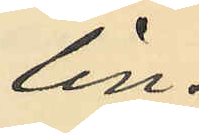lin¬
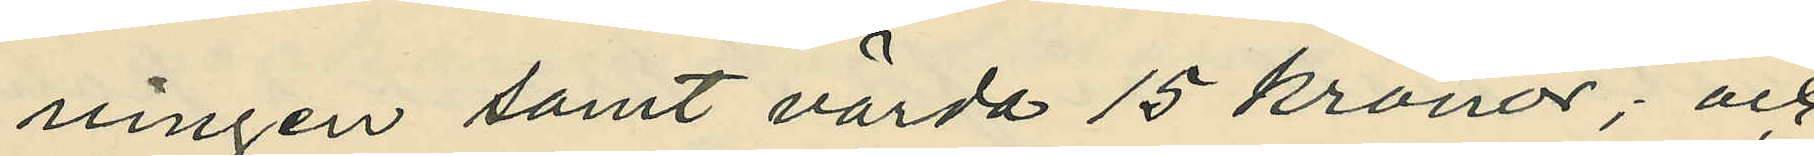ningen samt värda 15 kronor; och
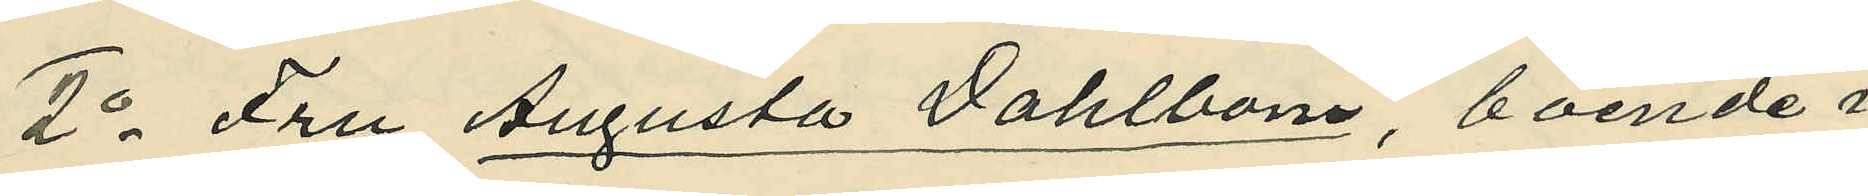2o Fru Augusta Dahlbom, boende i
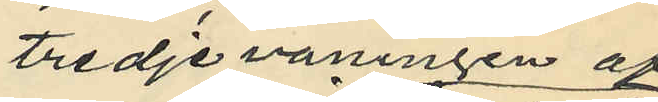tredje våningen af
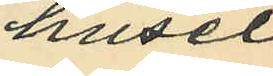huset
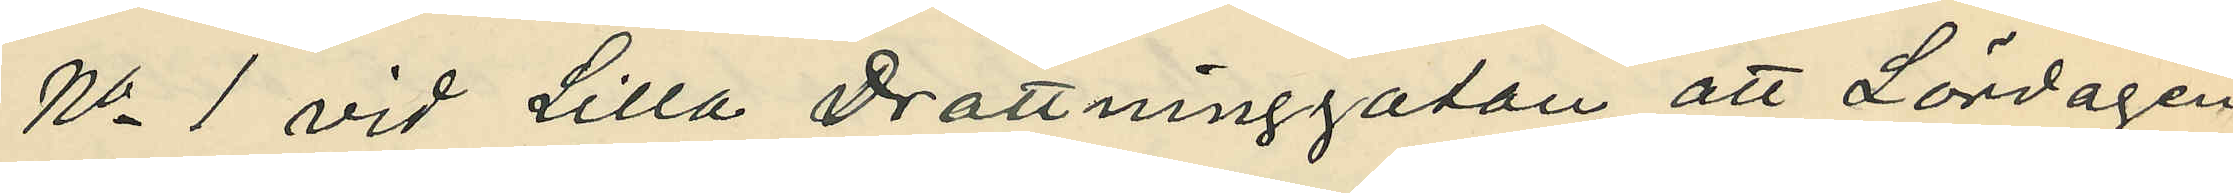No 1 vid Lilla Drottninggatan, att Lördagen
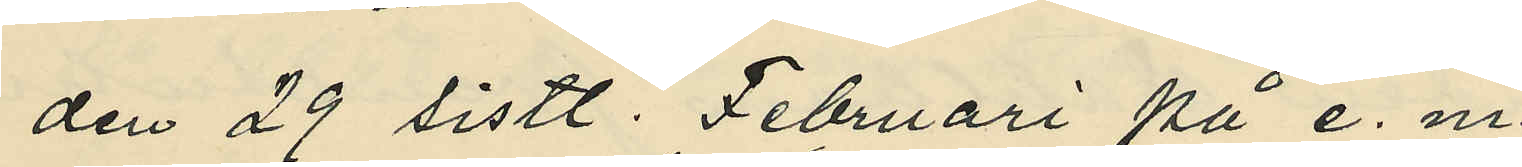den 29 sistl. Februari på e. m.
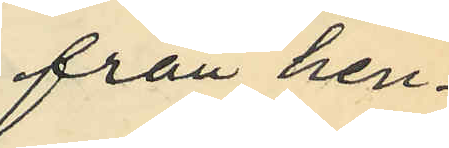från hen¬
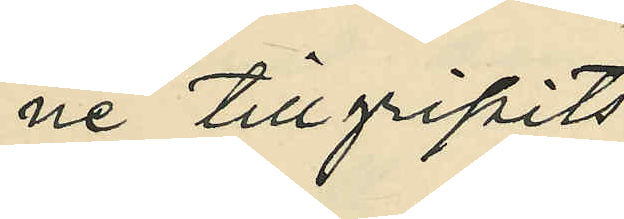ne tillgripits
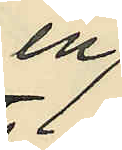en
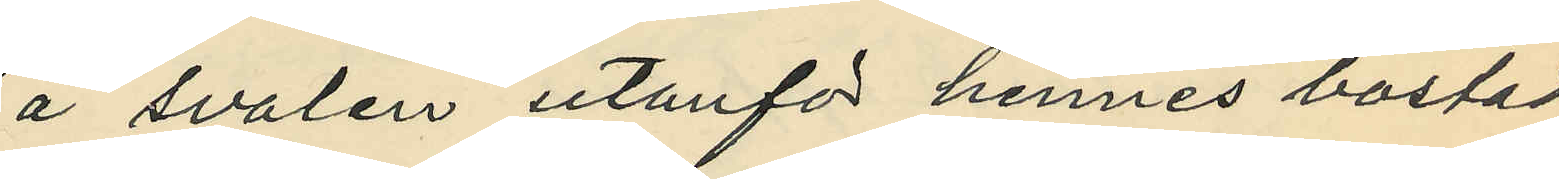å svalen utanför hennes bostad
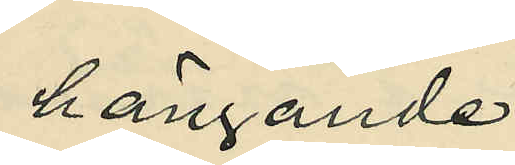hängande
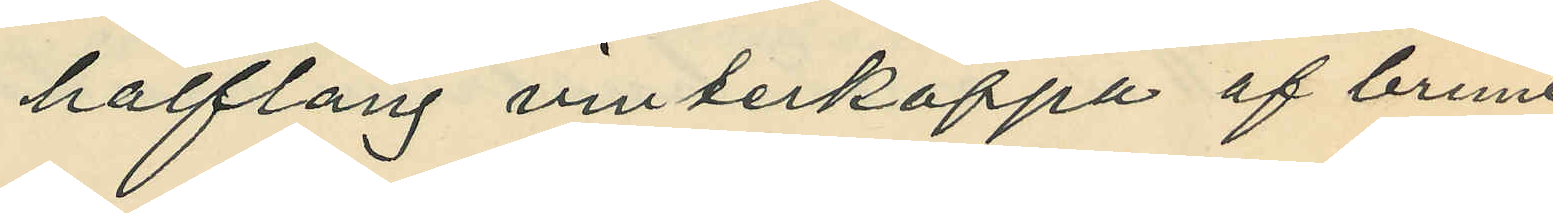halflång vinterkappa af brunt
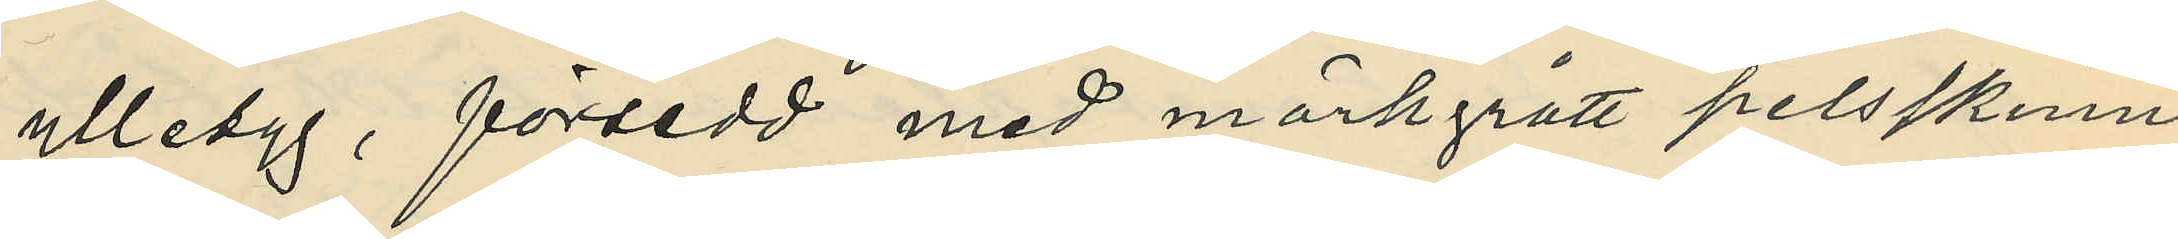ylletyg, försedd med mörkgrått pelsskinn
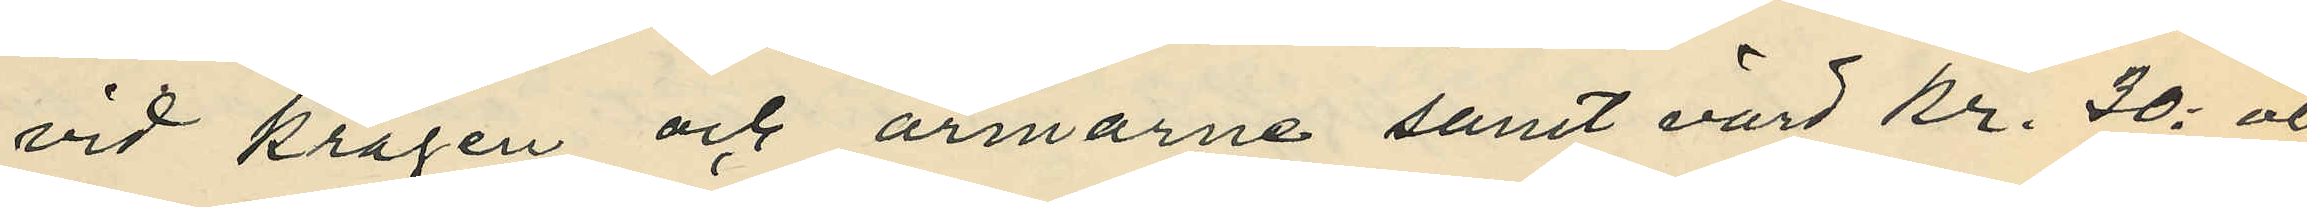vid kragen och armarne samt värd kr. 30: och
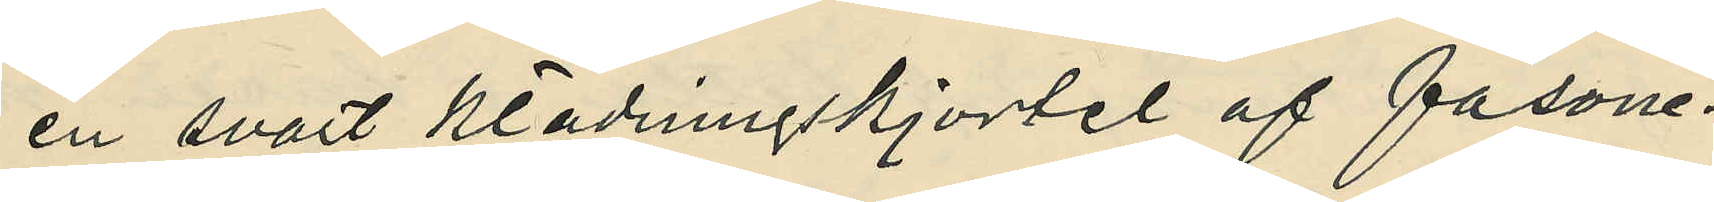en svart klädningskjortel af fasone¬
